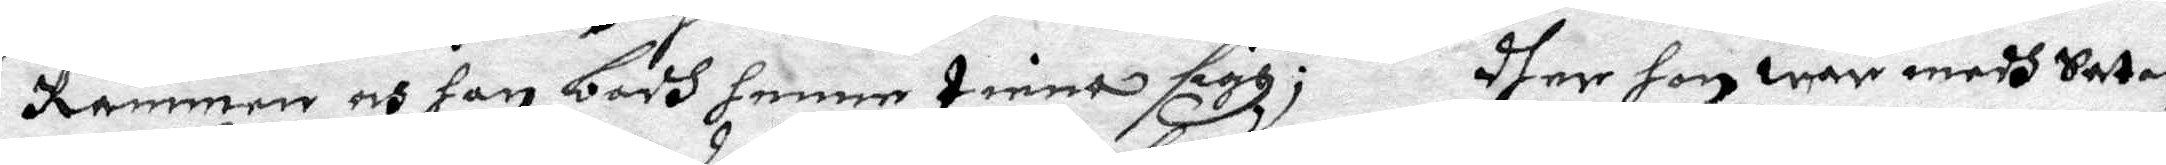Rämmen och han badh henne tiena sigh; dher hon war medh Satan
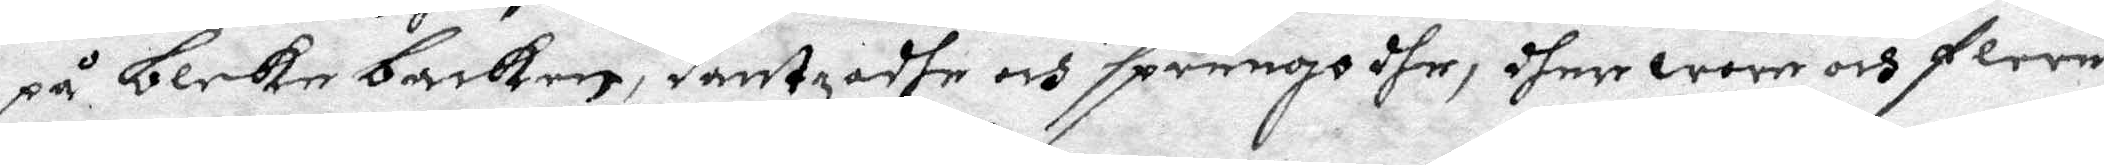på bleke backen, dantzadhe och sprungo dhe, dher wore och flere
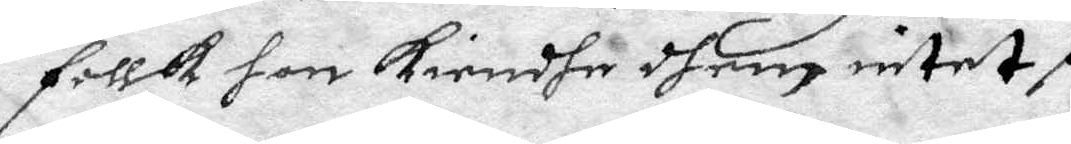follk hon kiendhe dhem intet.
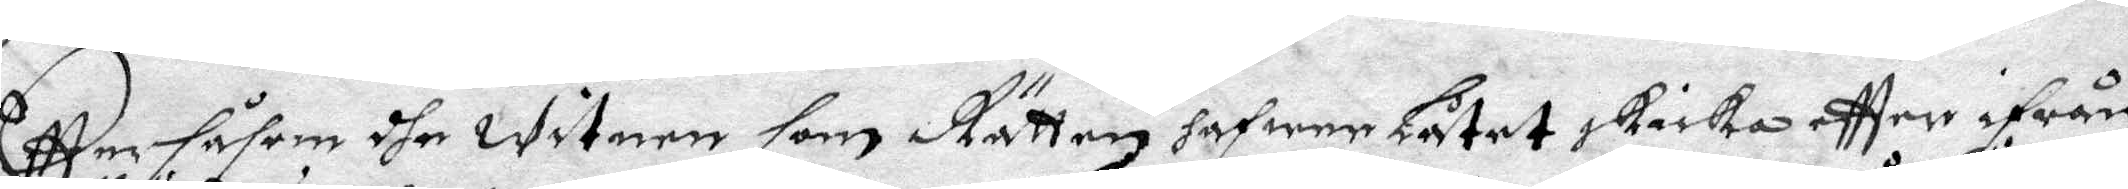Eftter såsom dhe witnen som Rätten hafwer låtet skicka effter ifrån
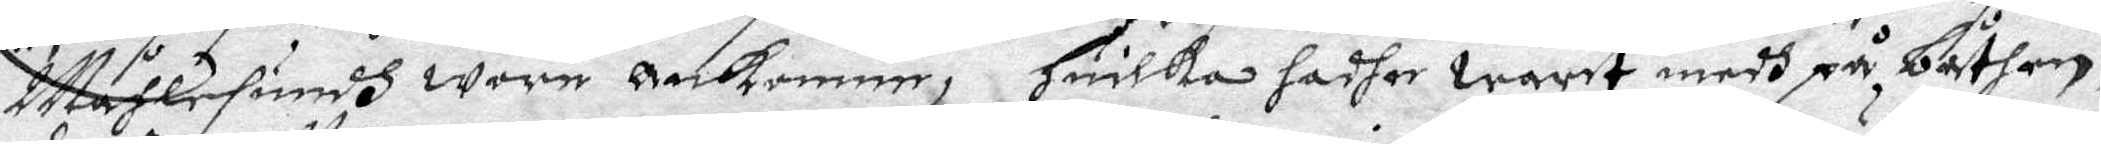Måhlesundh wore ankomme, Huilka hadhe warit medh på båthen,
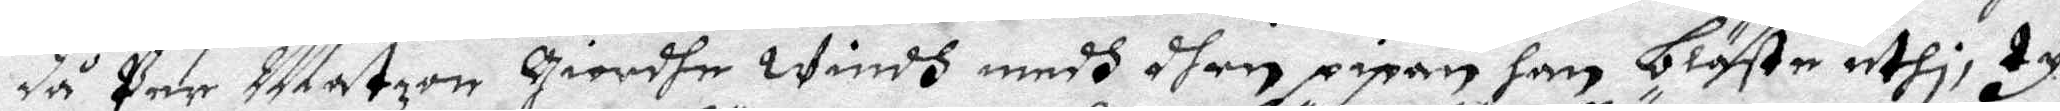då Per Matzon Giordhe windh medh dhen pipan han blåste uthi, ty
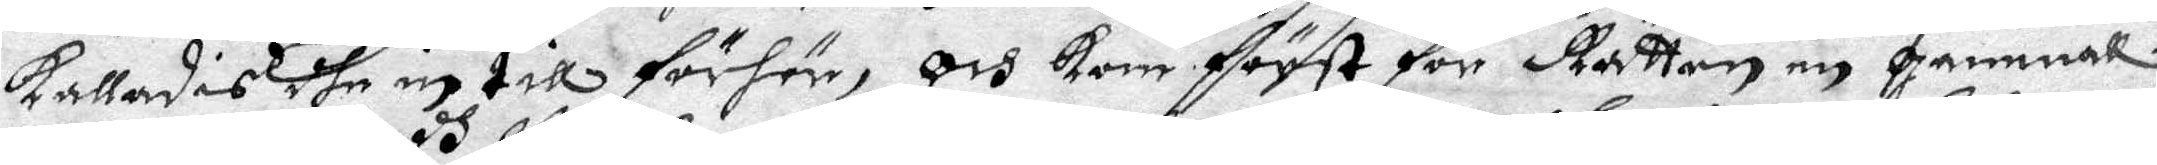kallades dhe in till förhör, och kom först för Rätten en gammal
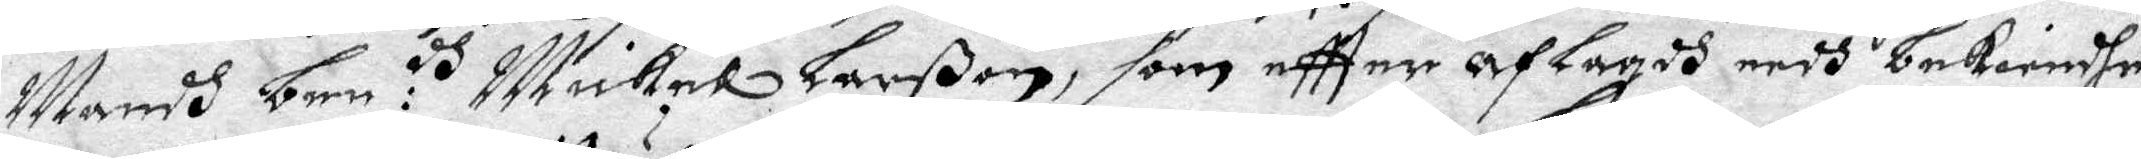Mandh bem:dh Mickel Larßon, som eftter afLagdh eedh bekiendhe,
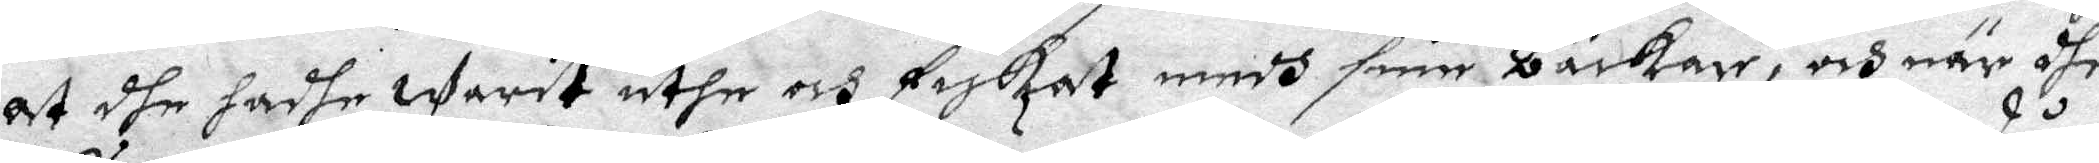at dhe hadhe warit uthe och fiskat medh sine backar, och när dhe
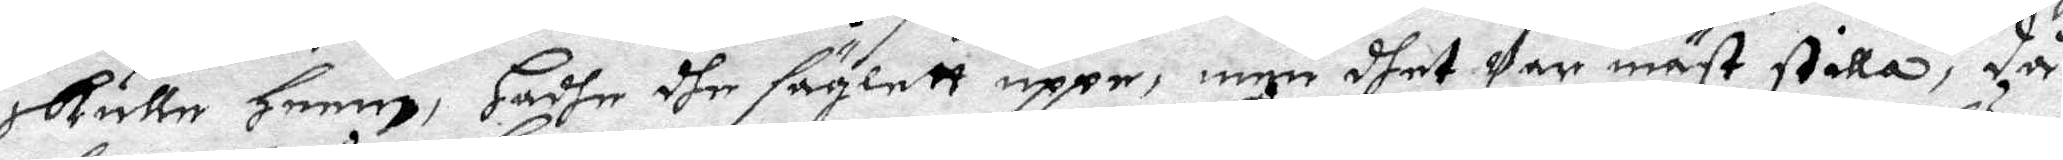skulle heme, hadhe dhe säglett uppe, men dhet war mäst stilla, då
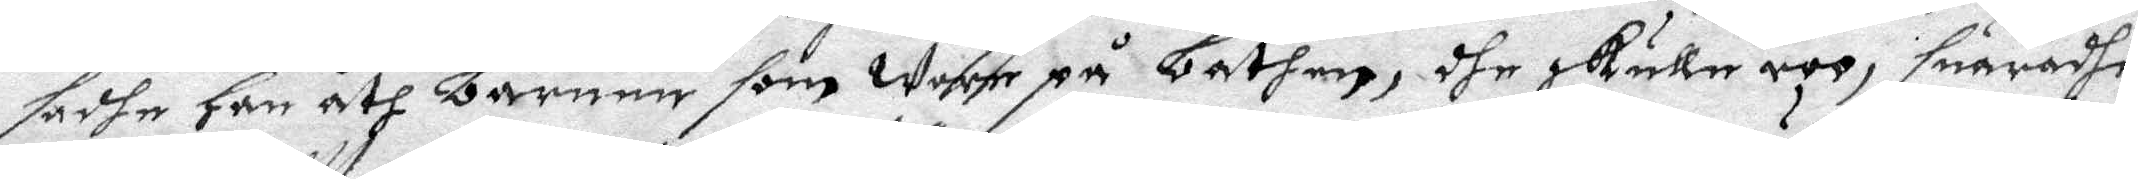sadhe han åth barnen som wore på båthen, dhe skulle roo, suaradhe
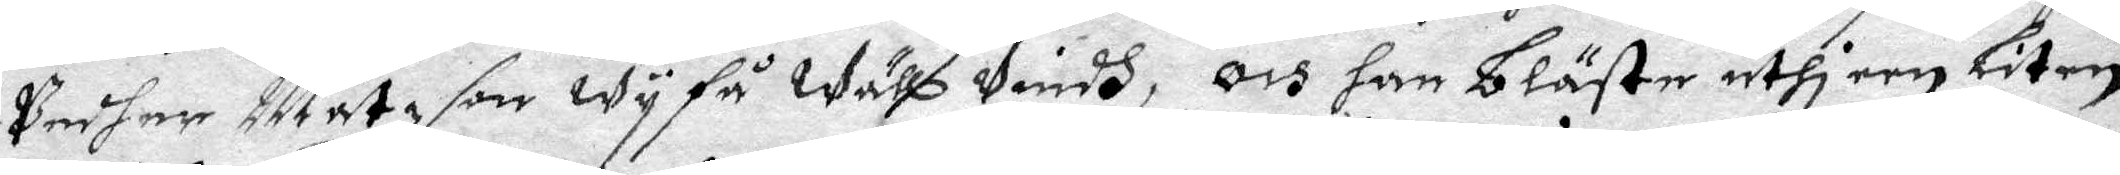Pedher Matzson wy få wähl vindh, och han bläste uthi een liten
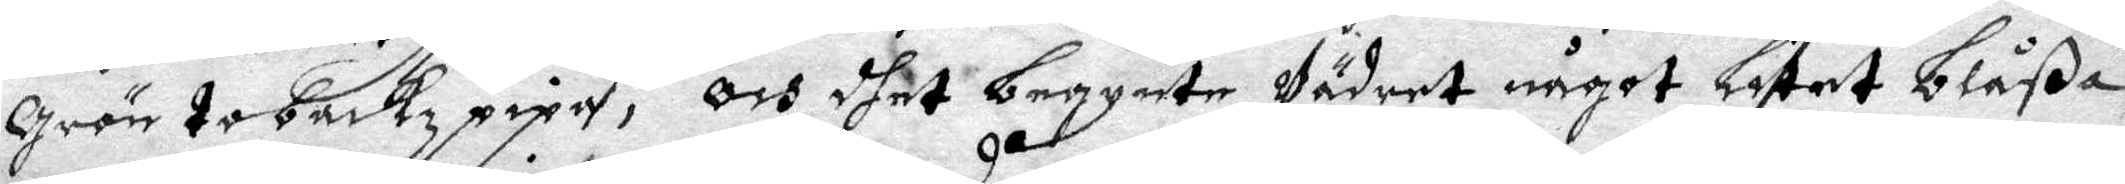grön tobackz pipa, och dhet begynte Wädret något litat blåßa,
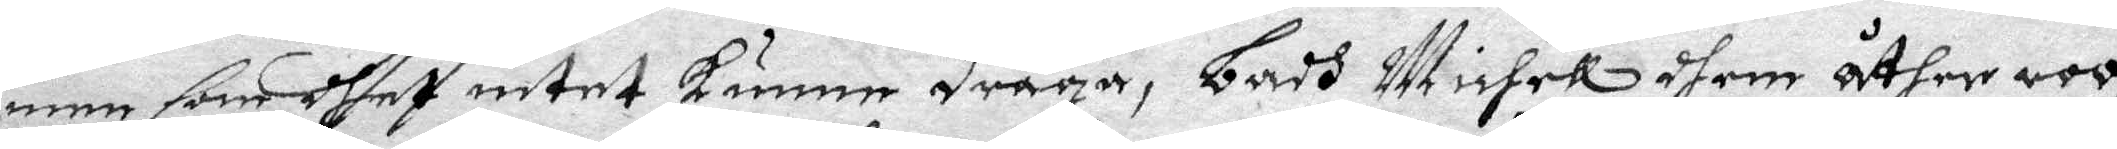men som dhet intet kunne draga, Badh Michel dhem åther roo,
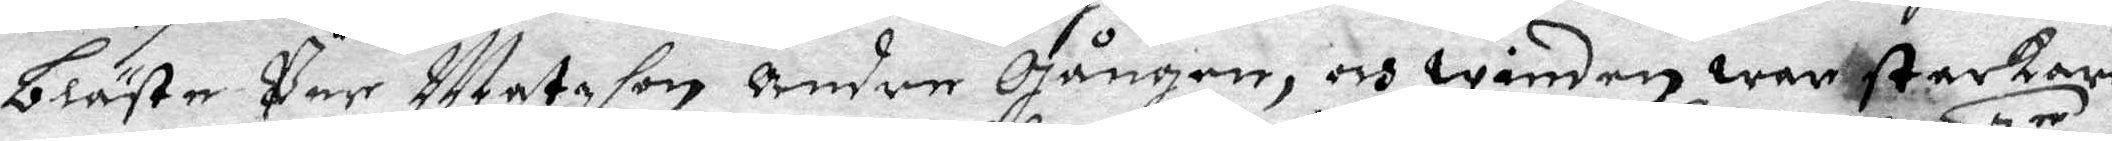blästa Pär Matzhon andre Gången, och winden war starkare
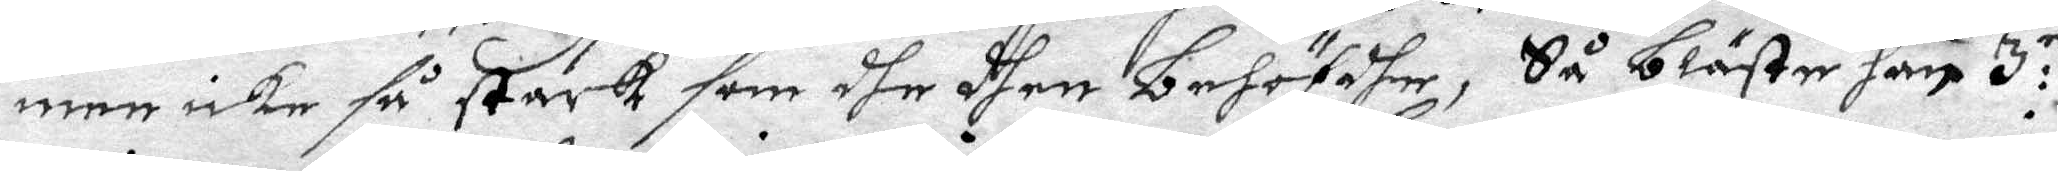men icke så stark som dhe dhen behöfdhe, Så bläste han 3:ie
